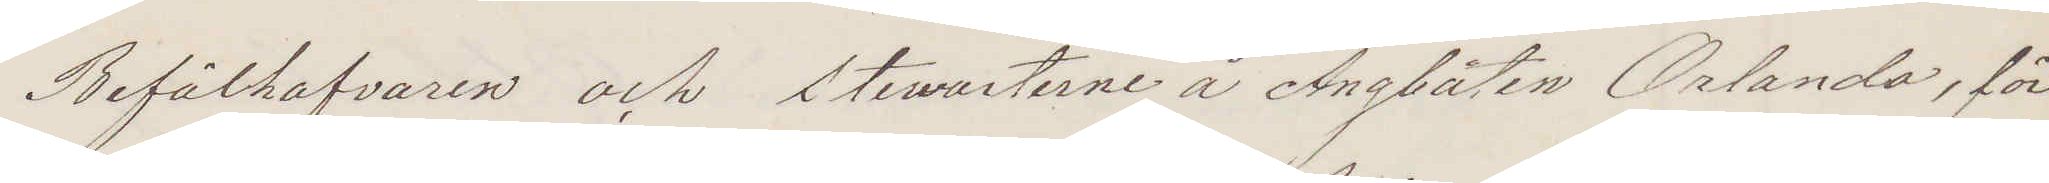Befälhafvaren och stewarterne å Ångbåten Orlando, för
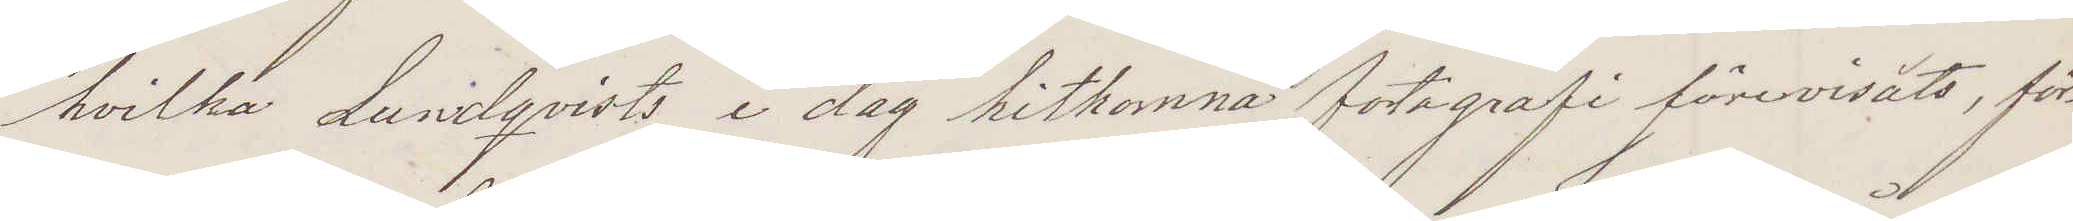hvilka Lundqvists i dag hitkomna fotografi förevisats, för¬
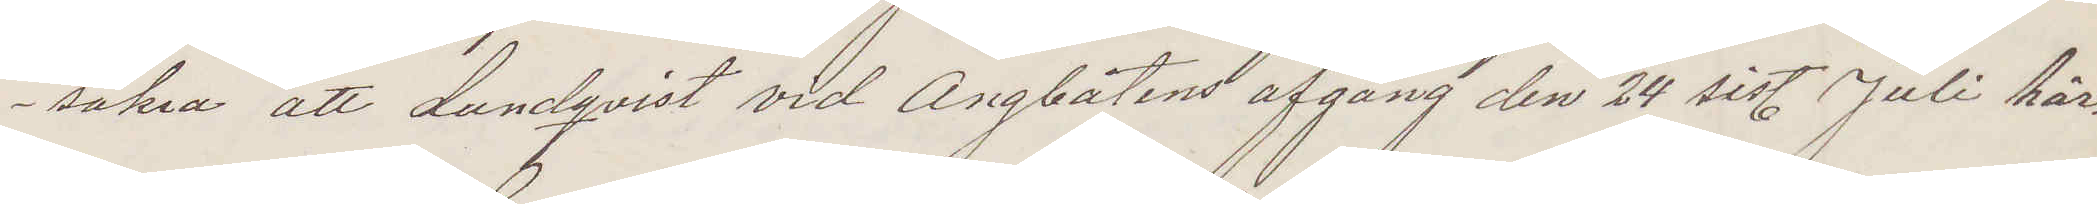säkra att Lundqvist vid Ångbåtens afgång den 24 sistl Juli här¬
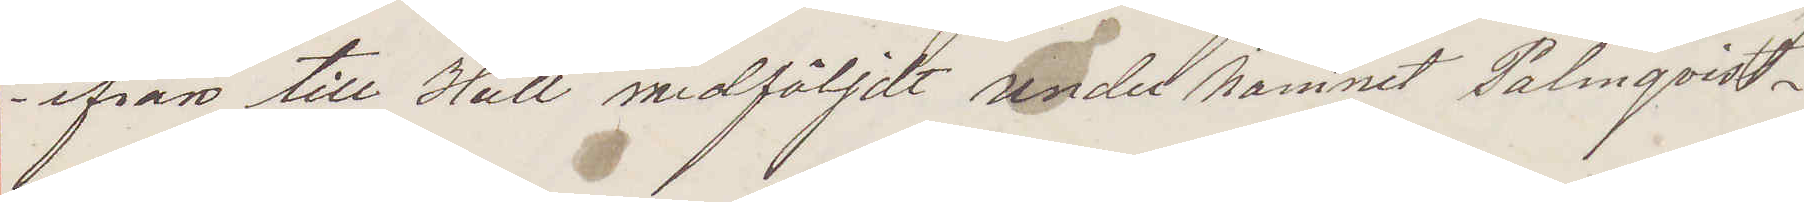ifrån till Hull medföljt under namnet Palmqvist.
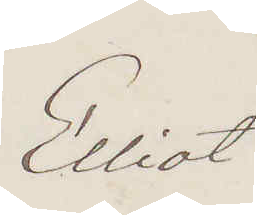Elliot
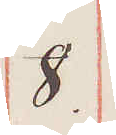8.
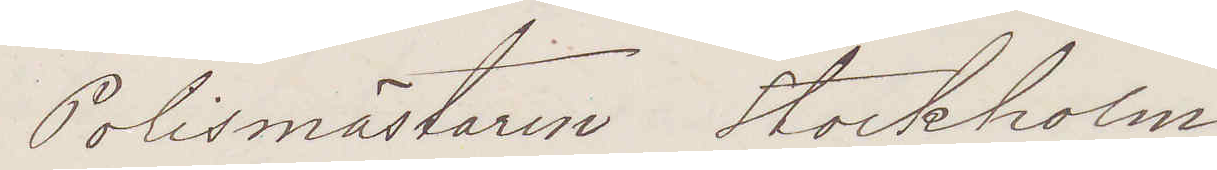Polismästaren Stockholm
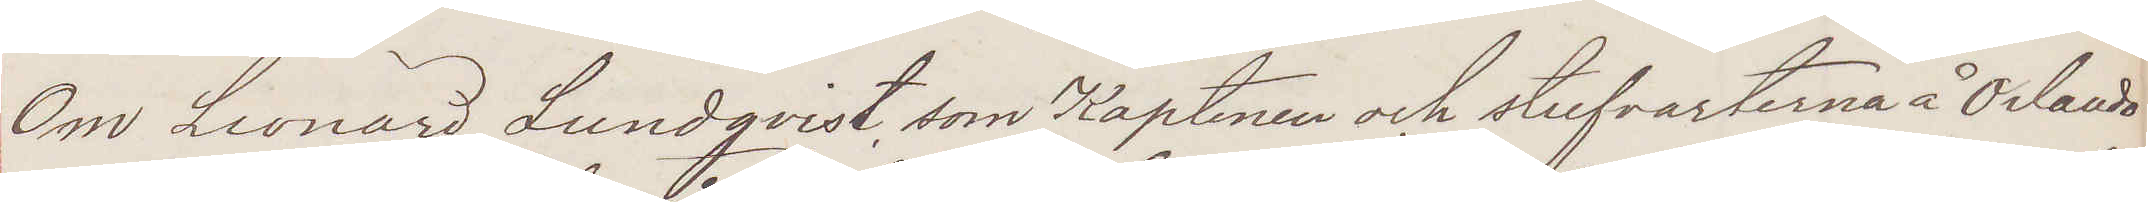Om Leonard Lundqvist som Kaptenen och stufvarterna å Orlando
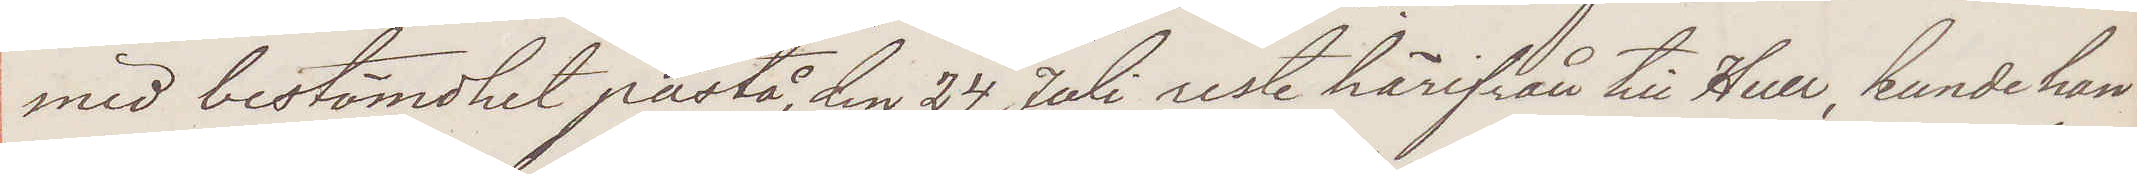med bestämdhet påstå, den 24 Juli reste härifrån till Hull, kunde han
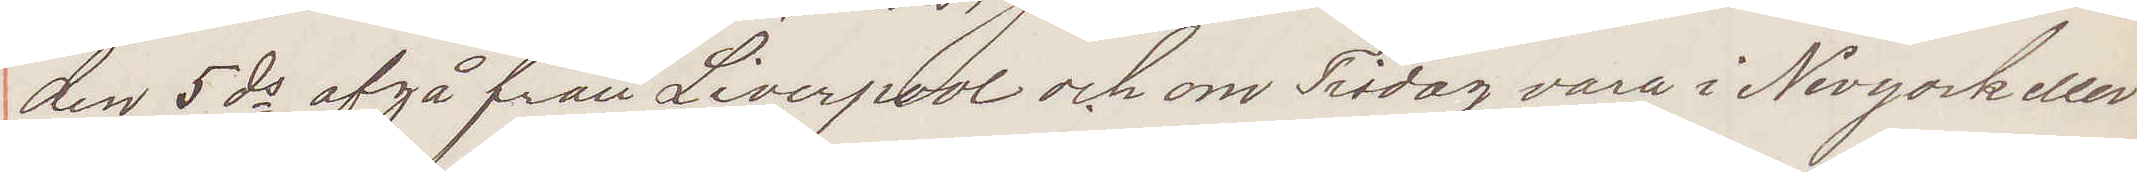den 5 ds afgå från Liverpool och om Tisdag vara i Newyork eller
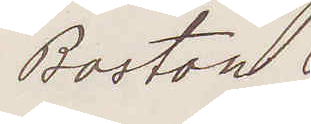Boston.
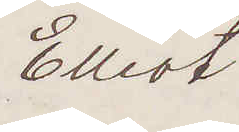Elliot
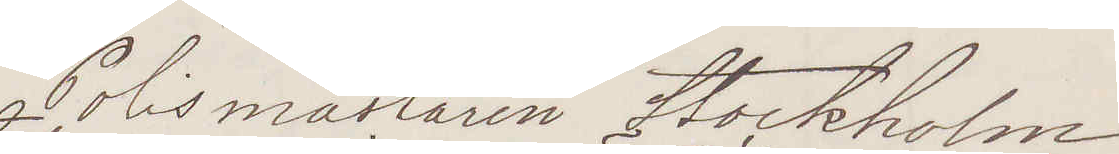Polismästaren Stockholm
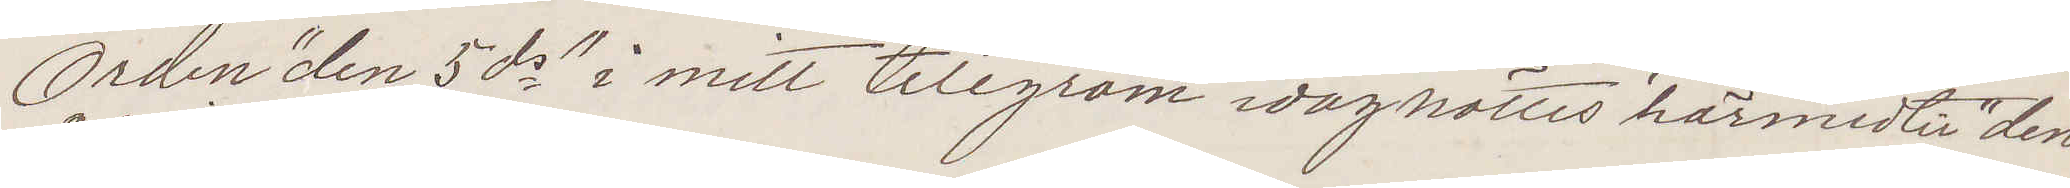Orden "den 5 ds" i mitt telegram idag rättes härmed til "den
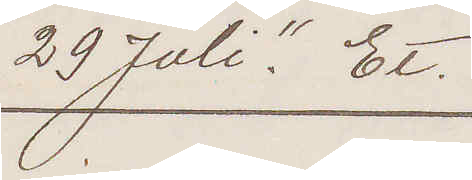29 Juli." Et.
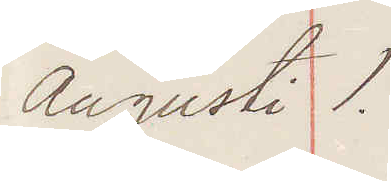Augusti 1.
